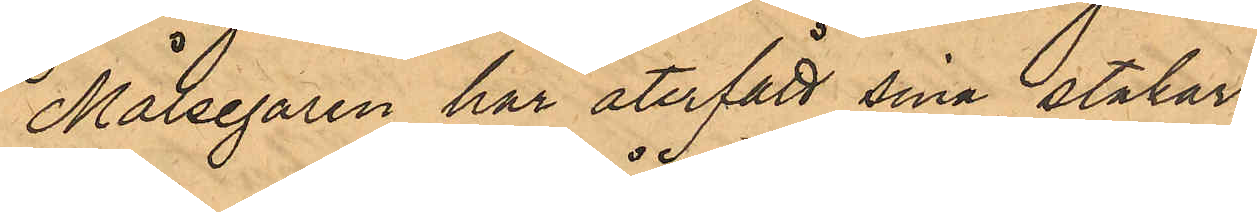Målsegaren har återfått sina stakar.
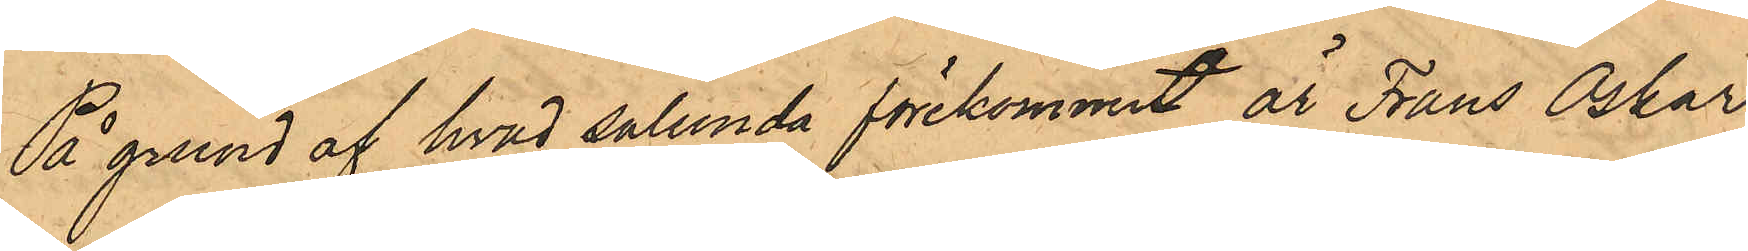På grund af hvad sålunda förekommit, är Frans Oskar
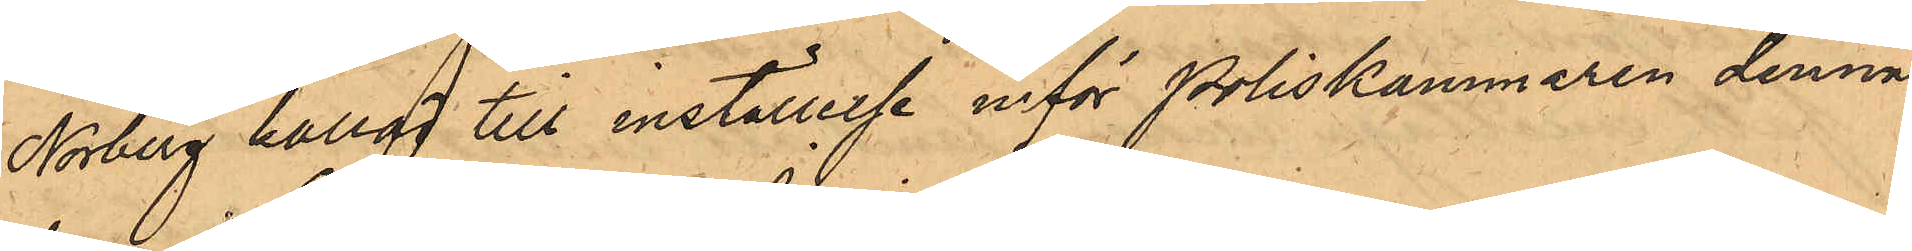Norberg kallad till inställelse inför Poliskammaren denna
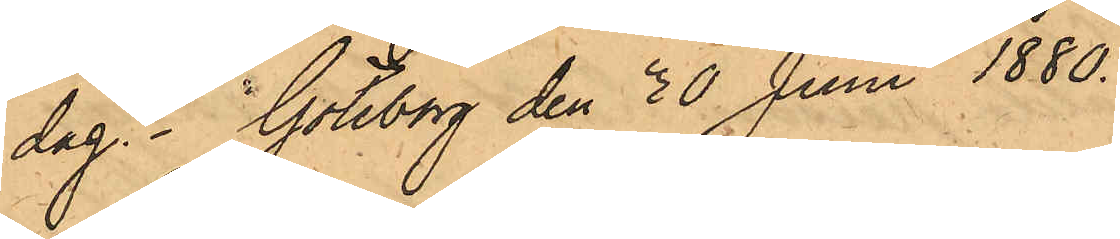dag. Göteborg den 30 Juni 1880.
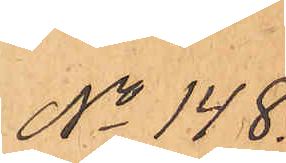No 148.
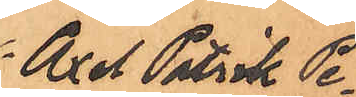Axel Patrik Pe¬
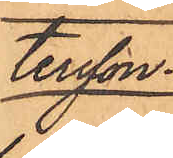tersson.
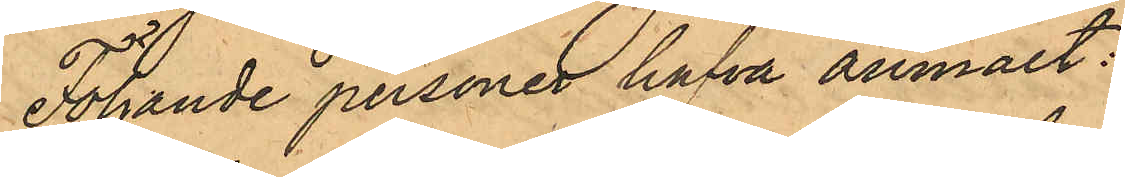Följande personer hafva anmält:
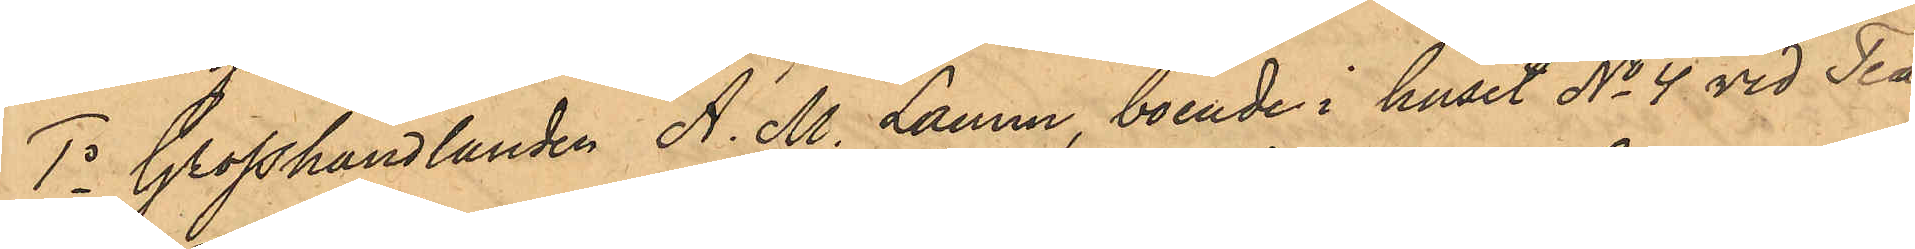1o Grosshandlanden A. M. Lamm, boende i huset No 4 vid Tea¬
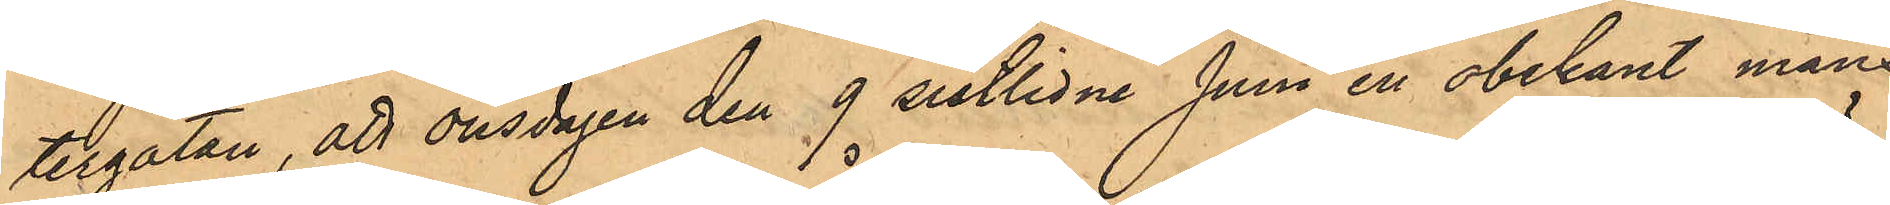tergatan, att onsdagen den 9 sistlidne Juni en obekant mans¬
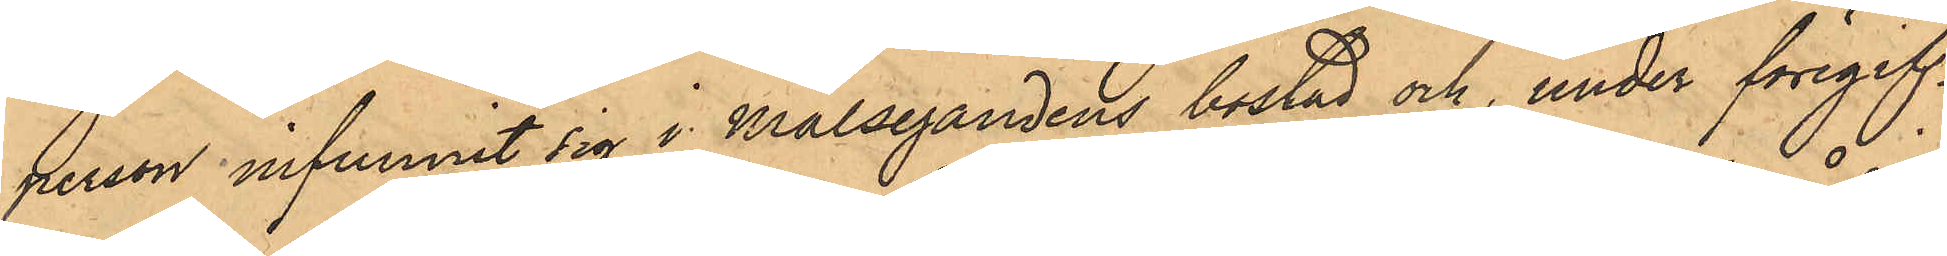person infunnit sig i Målsegandens bostad och, under föregif¬
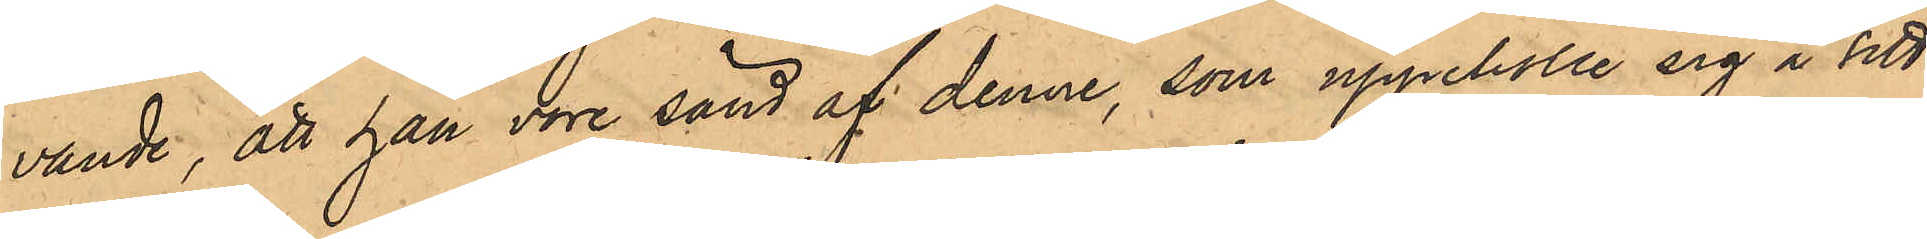vande, att han vore sänd af denne, som uppehölle sig i sitt
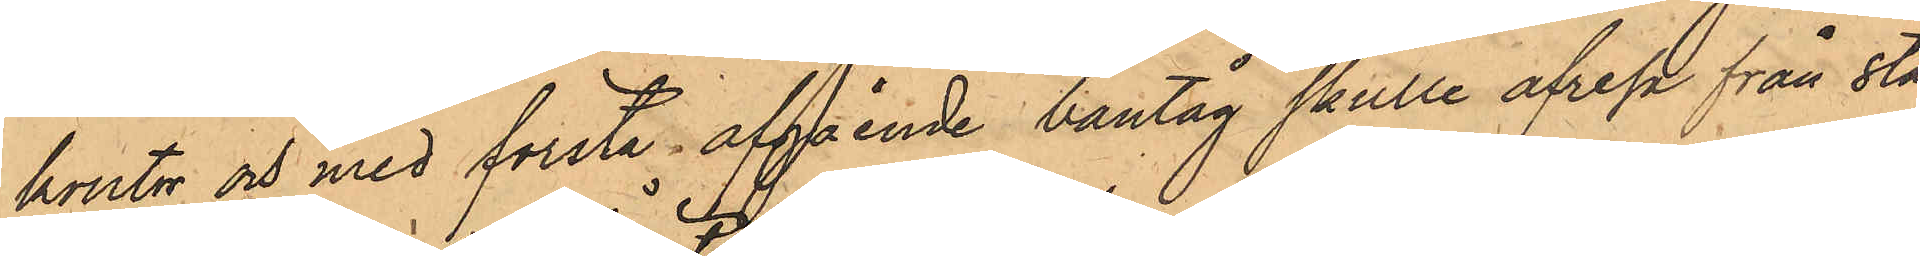kontor och med första afgående bantåg skulle afresa från Sta¬
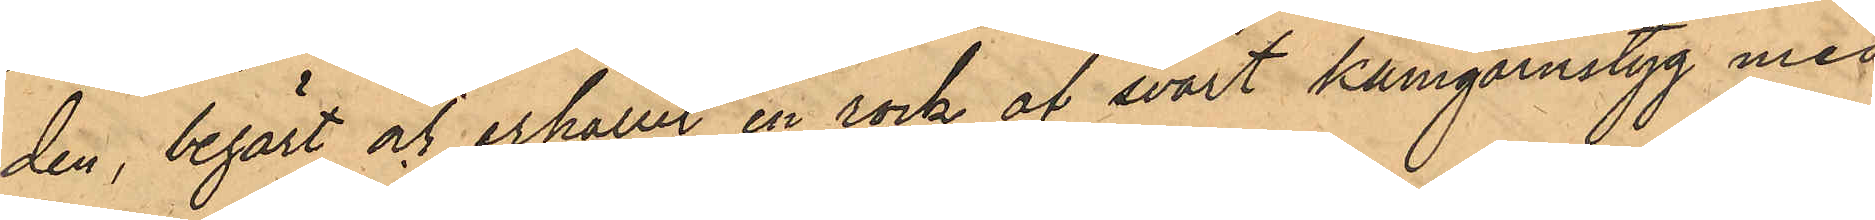den, begärt och erhållit en rock af svart kamgarnstyg med
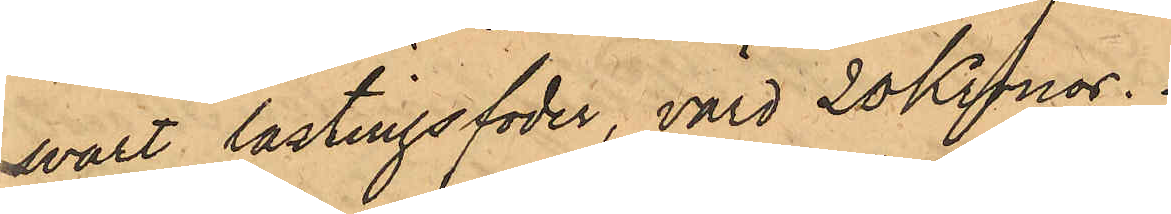svart lastingsfoder, värd 20 Kronor.
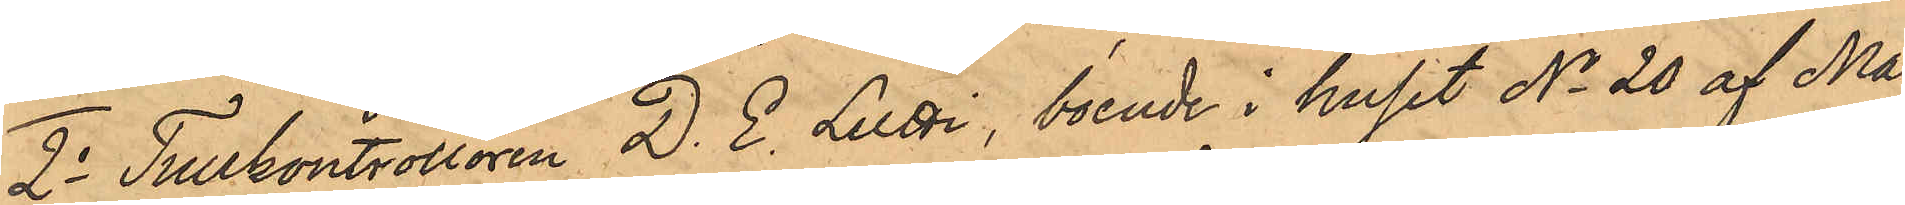2o Tullkontrollören D. E. Lutti, boende i huset No 20 af Ma¬
